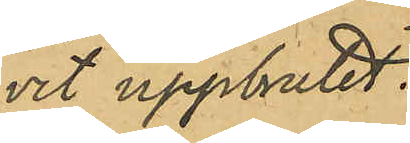vit uppbrutet.
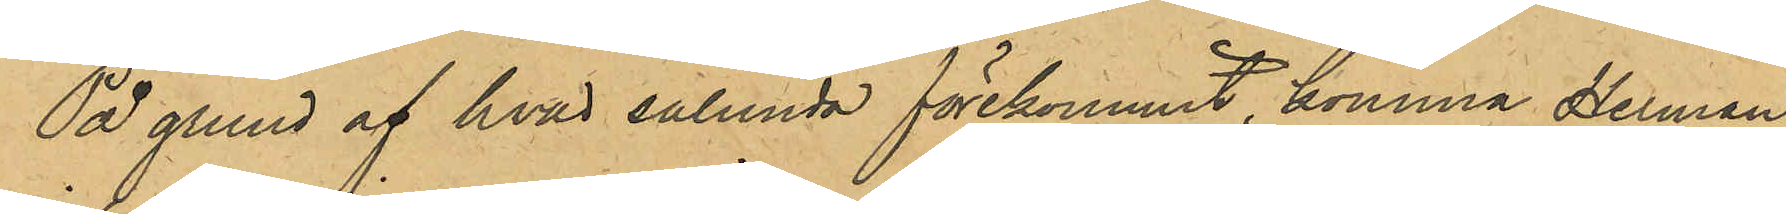På grund af hvad sålunda förekommit, komma Herman
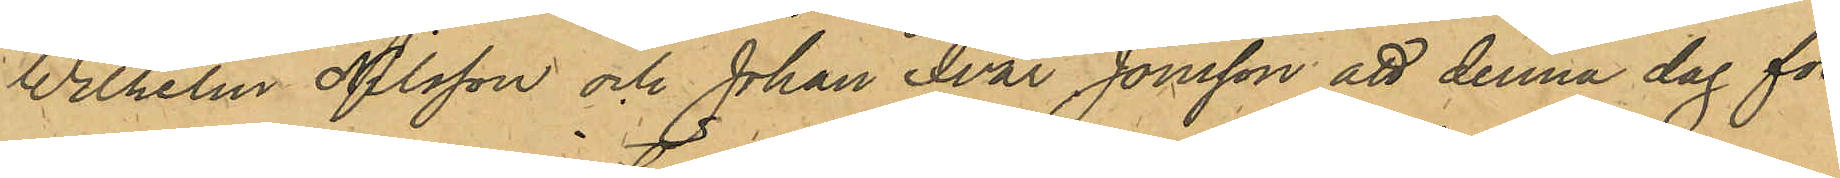Wilhelm Nilsson och Johan Ivar Jonsson att denna dag för
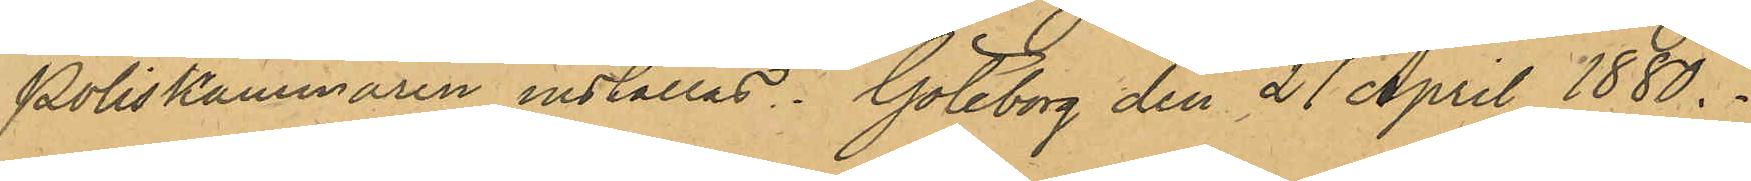Poliskammaren inställas. Göteborg den 27 April 1880.
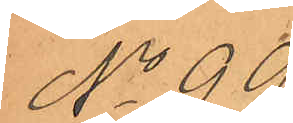No 99.
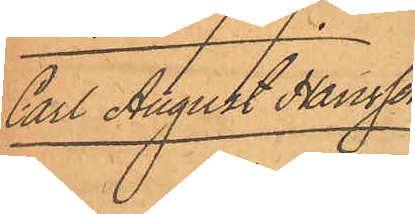Carl August Hansson.
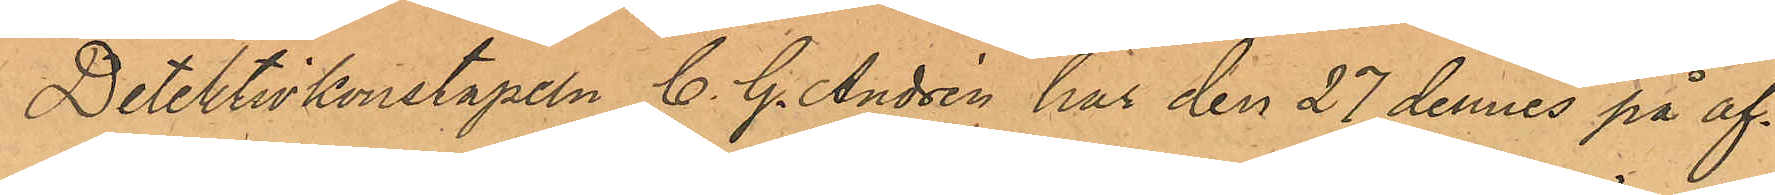Detektivkonstapeln C. G. Andrén har den 27 dennes på af¬
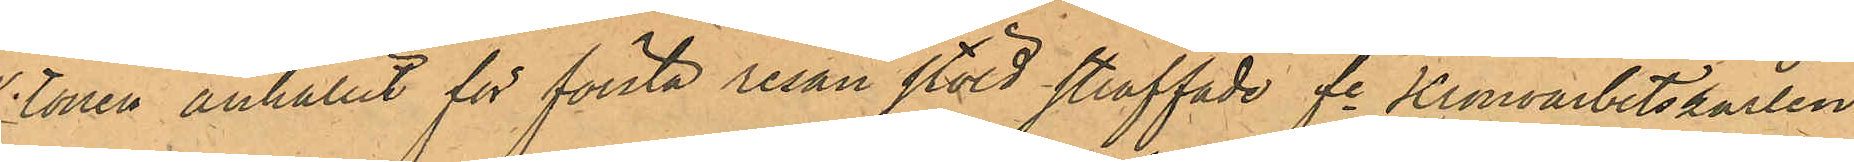tonen anhållit för första resan stöld straffade fe Kronoarbetskarlen
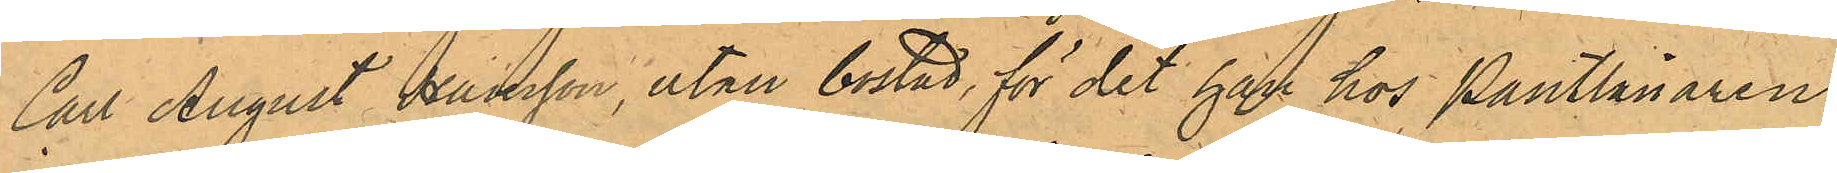Carl August Hansson, utan bostad, för det han hos Pantlånaren
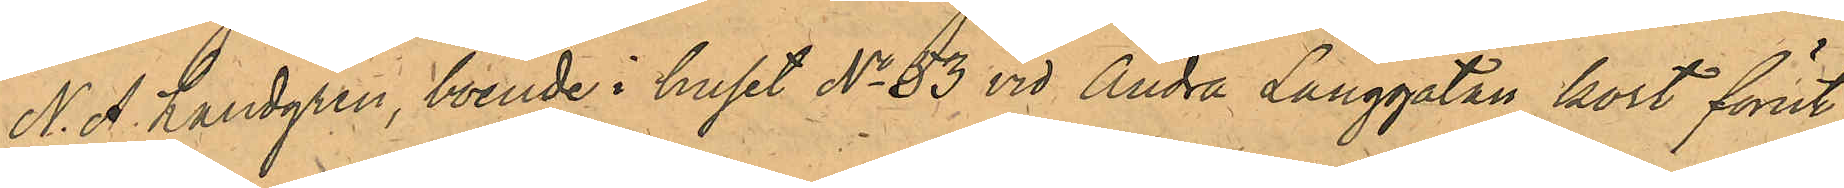N. A. Landgren, boende i huset No 53 vid Andra Långgatan kort förut
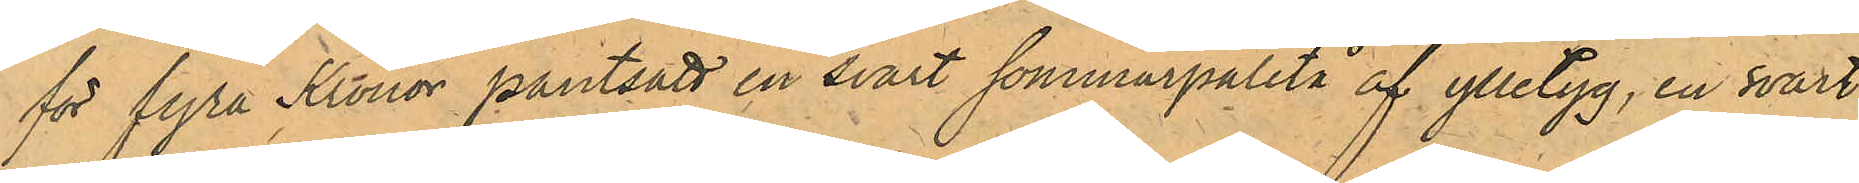för fyra Kronor pantsatt en svart sommarpaletå af ylletyg, en svart
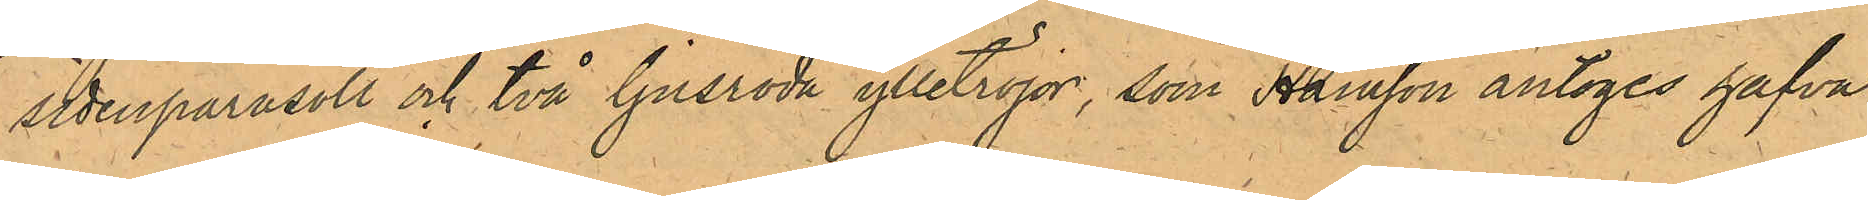sidenparasoll och två ljusröda ylletröjor, som Hansson antoges hafva
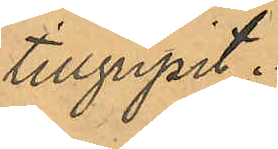tillgripit.
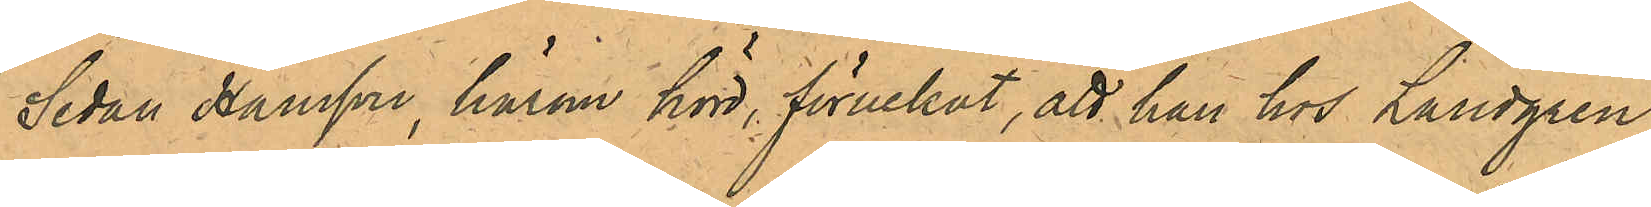Sedan Hansson, härom hörd, förnekat, att han hos Landgren
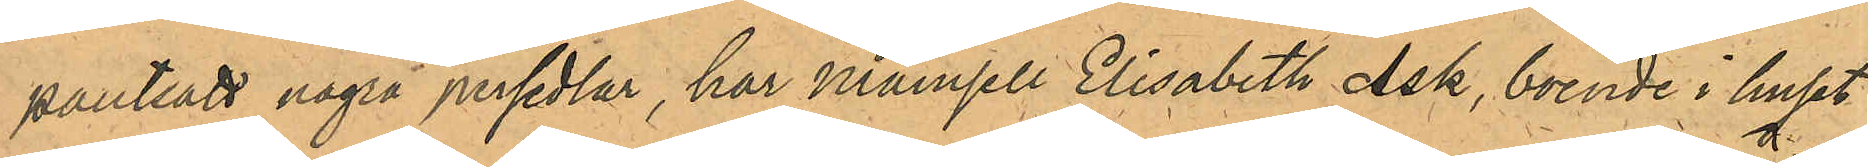pantsatt några persedlar, har Mamsell Elisabeth Ask, boende i huset
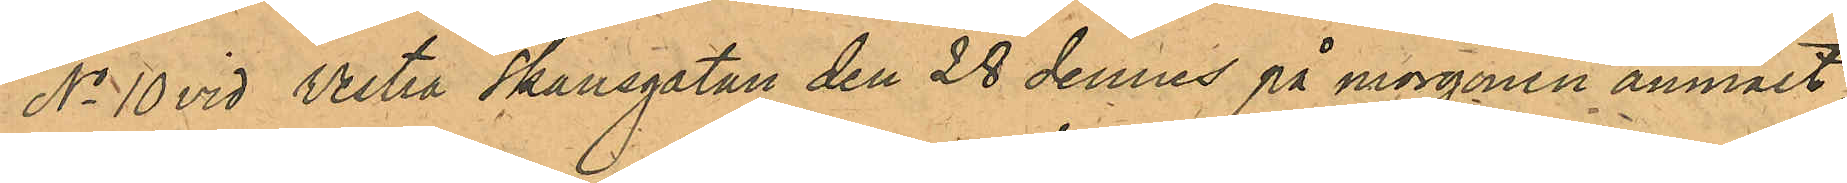No 10 vid Vestra Skansgatan den 28 dennes på morgonen anmält,
